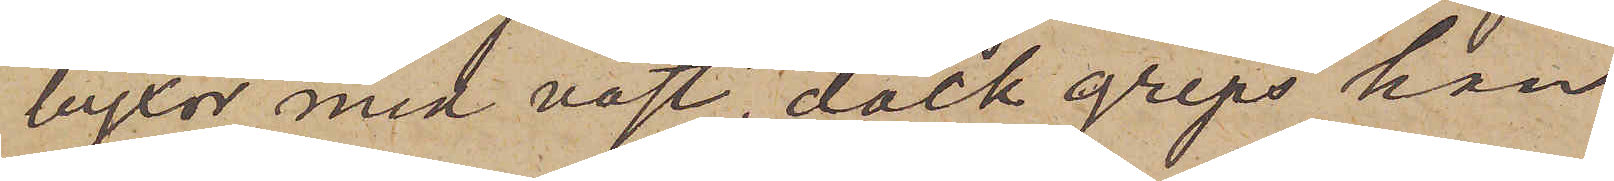byxor med väst; dock greps han
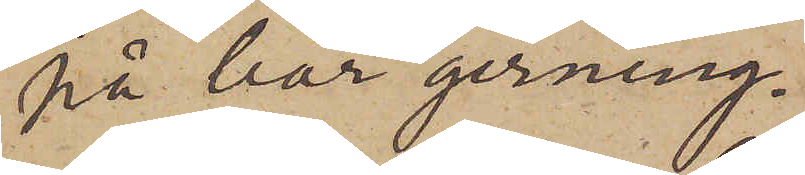på bar gerning.
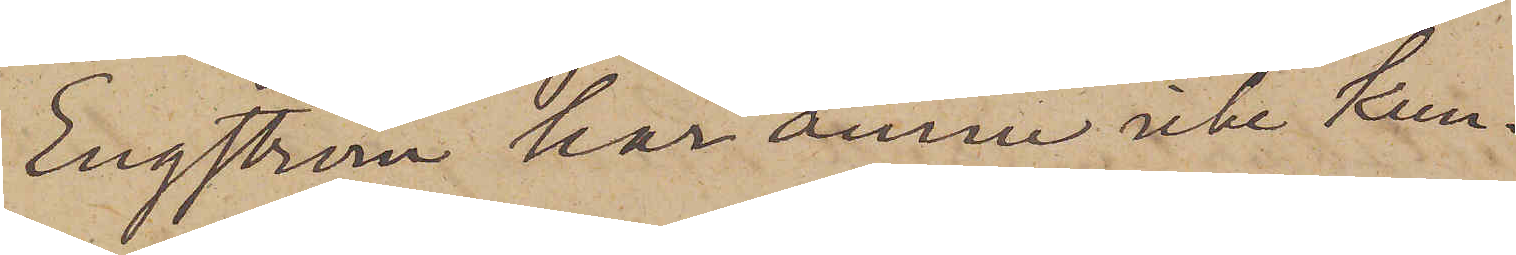Engström har ännu icke kun¬
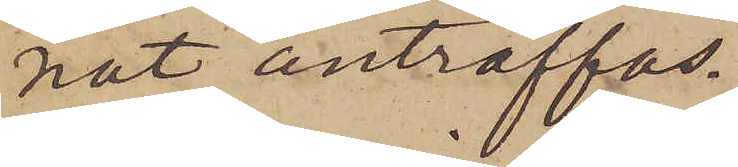nat anträffas.
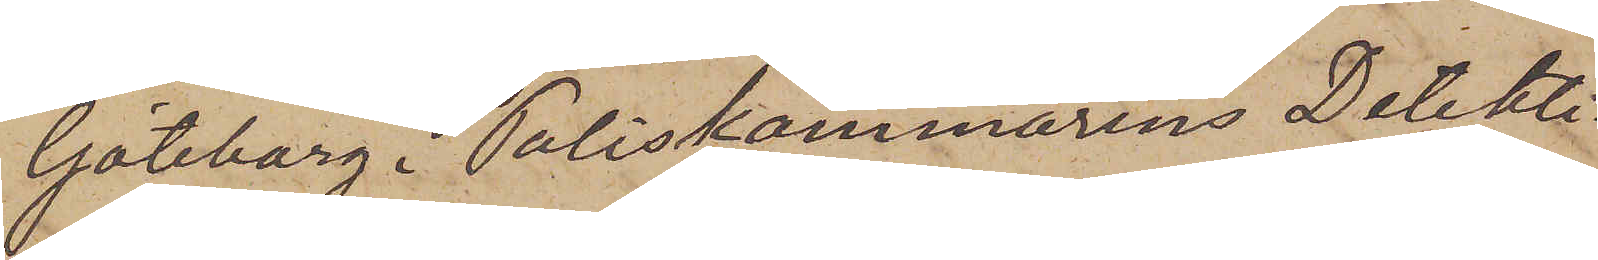Göteborg i Poliskammarens Detekti¬
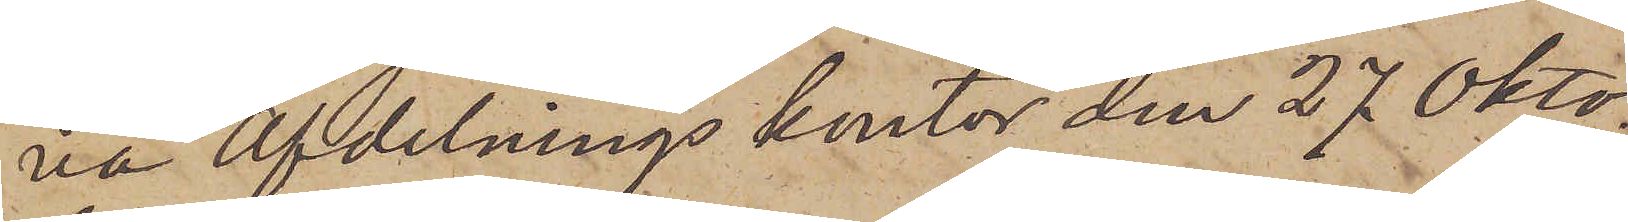na afdelnings kontor den 27 Okto¬
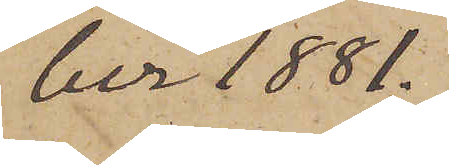ber 1881.
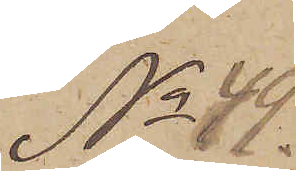No 49.
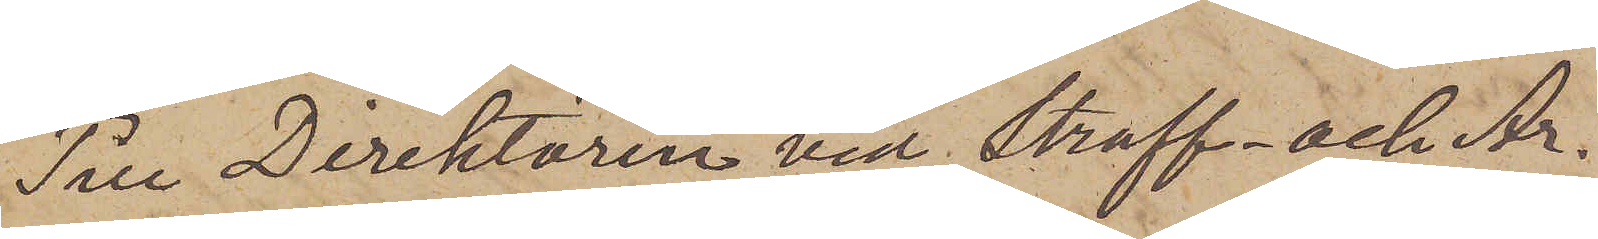Till Direktören vid Straff- och Ar¬
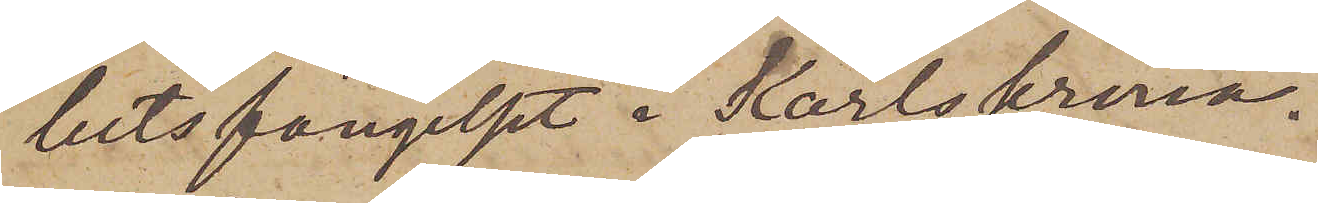betsfängelset i Karlskrona.
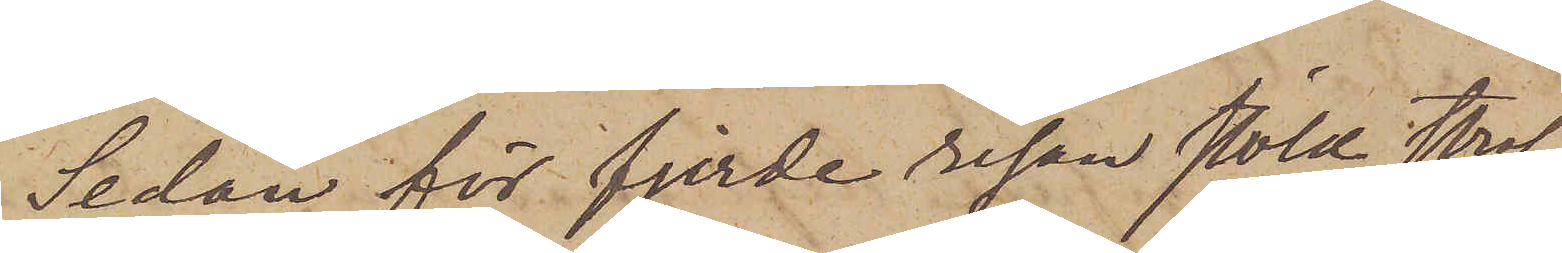Sedan för fjerde resan stöld straf¬
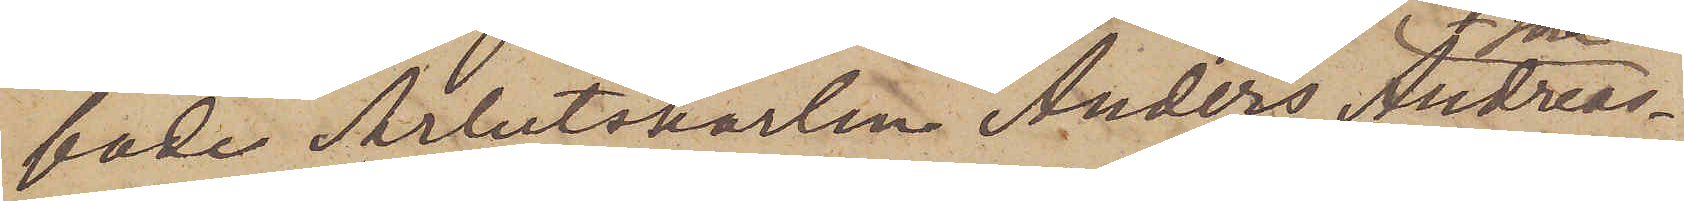fade Arbetskarlen Anders Andreas¬
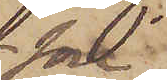son
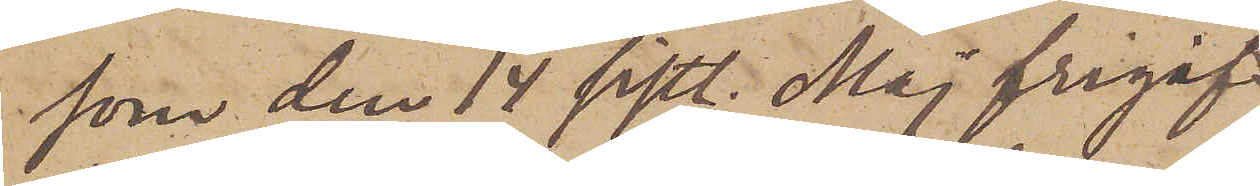som den 14 sistl. Maj frigif¬
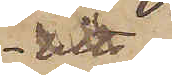its
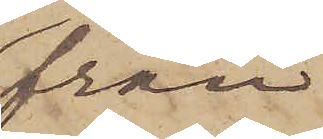från
